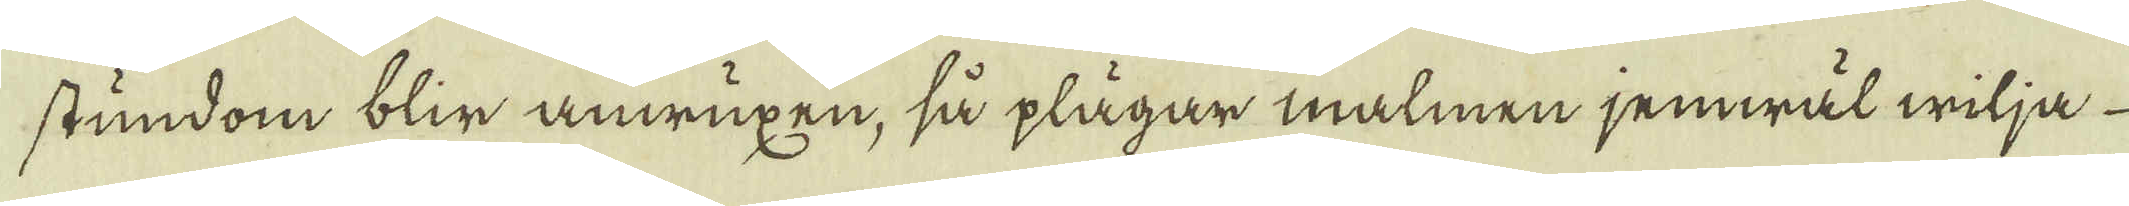stundom blir anwuxen, så plägar malmen jemwäl wilja
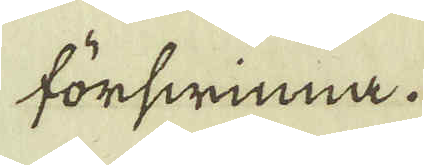förswinna.
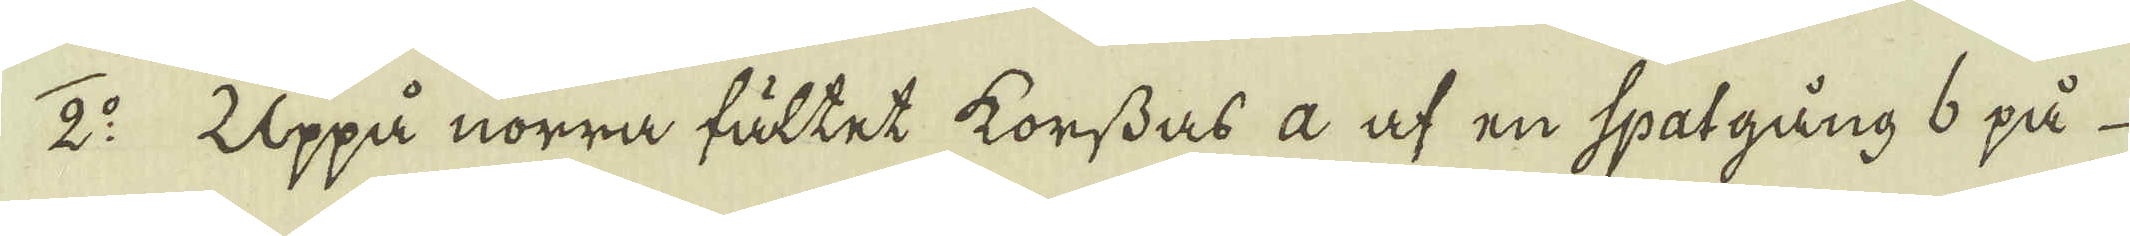2:o Uppå norra fältet korssas a af en spatgång 6 på
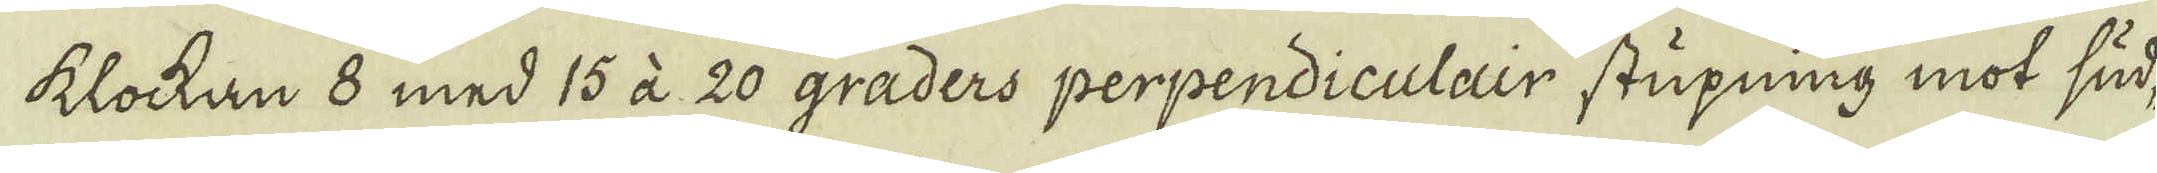klockan 8 med 15 à 20 graders perpendiculair stupning mot sud-
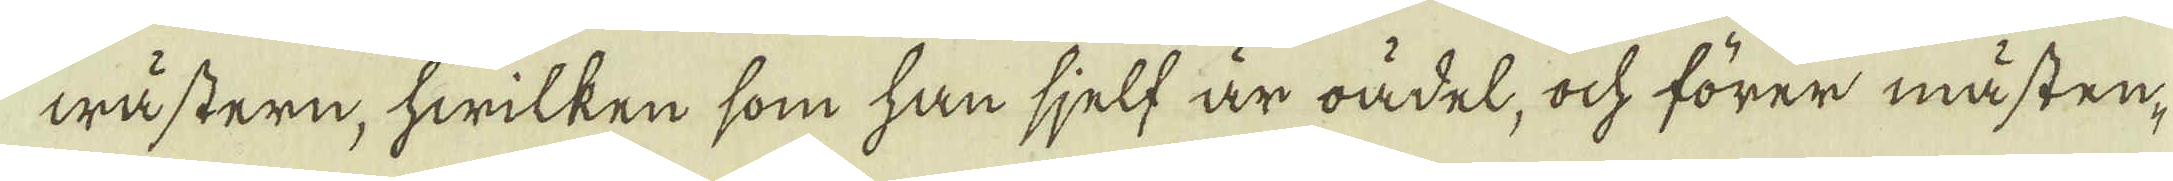wästern, hwilken som han sjelf är oädel, ock förer mästen-
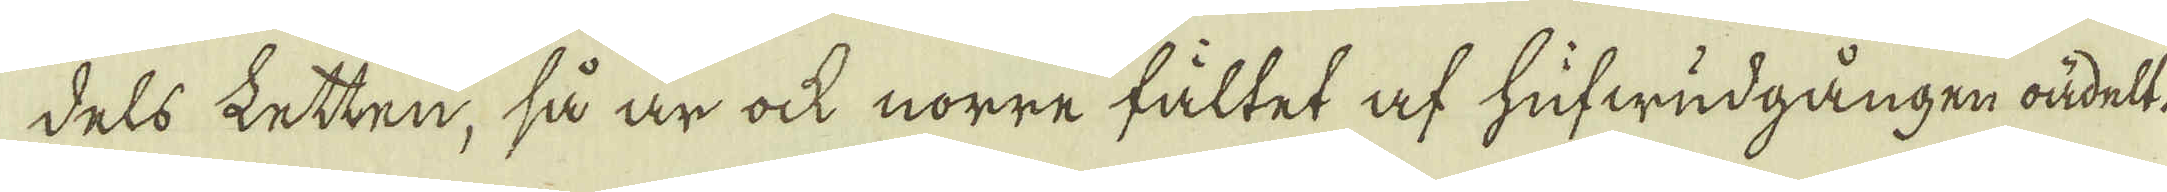dels letten, så är ock nörre fältet af hufwudgången oädelt.
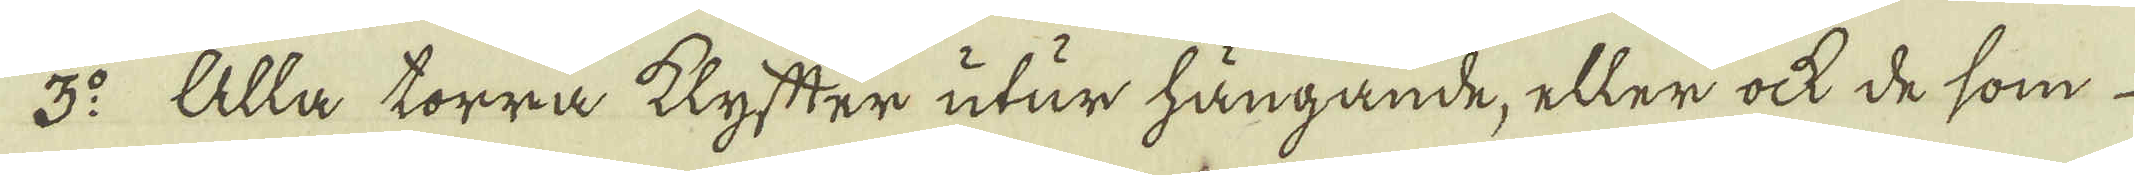3:o Alla torra klyfter utur hängande, eller ock de som
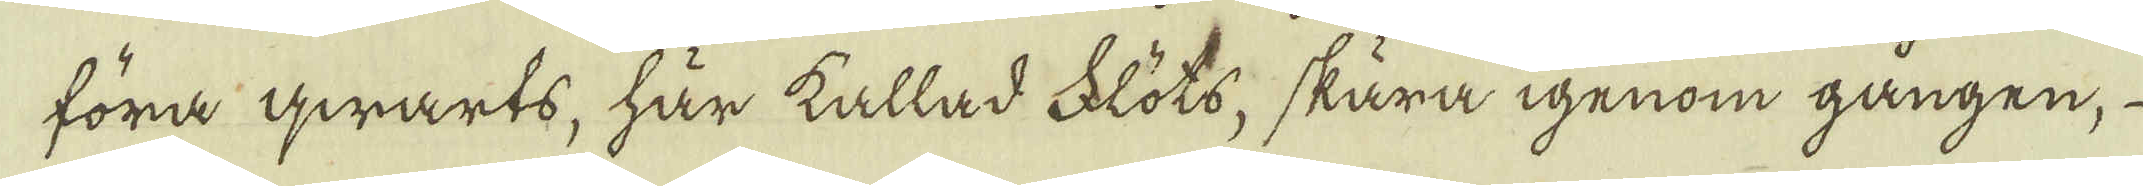föra qwarts, här kallad Flöts, skära igenom gången,
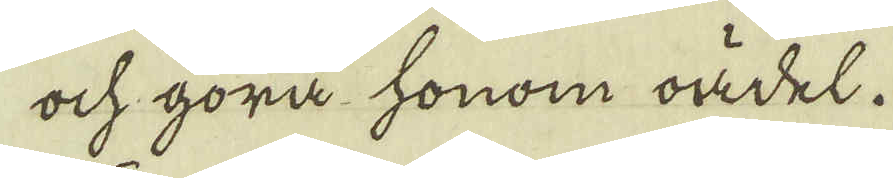ock göra honom oädel.
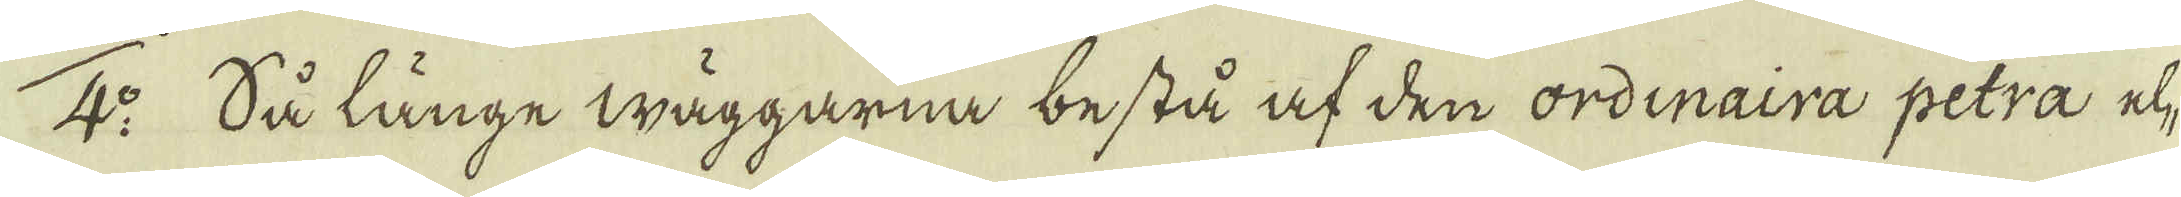4:o Så länge wäggarna bestå af den ordinaira petra el-
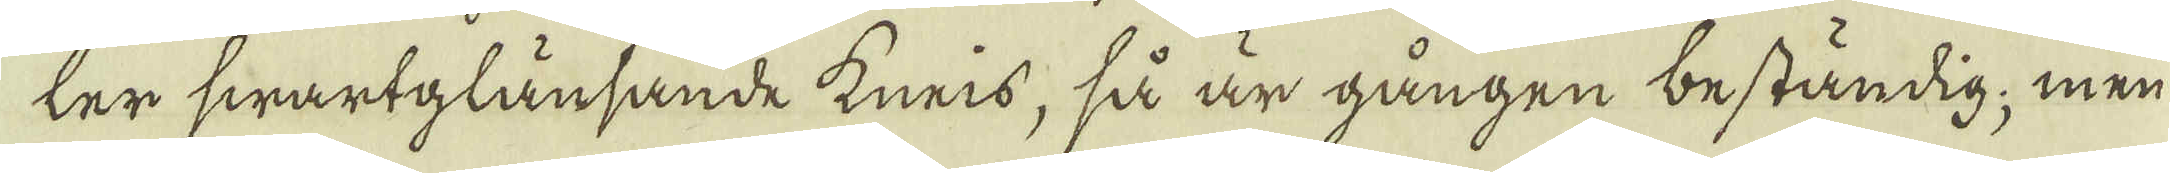ter swartglänsande kneis, så är gången beständig; men
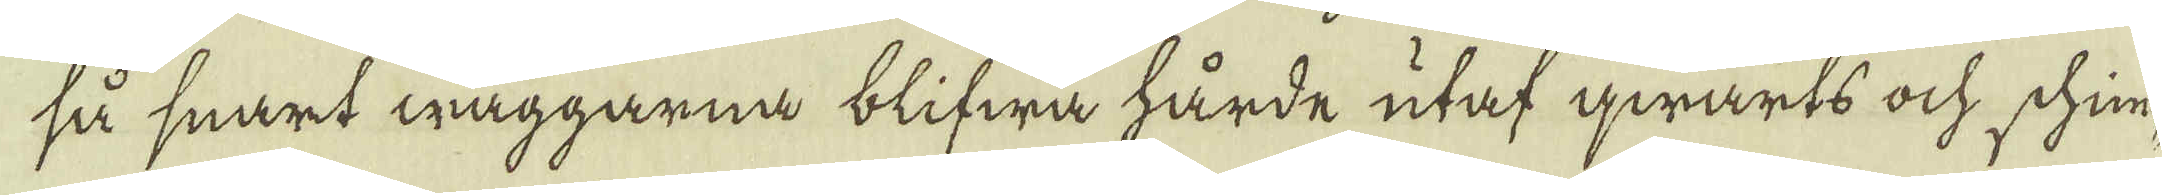så snart wäggarna blifwa hårde utaf qwarts ock schin-
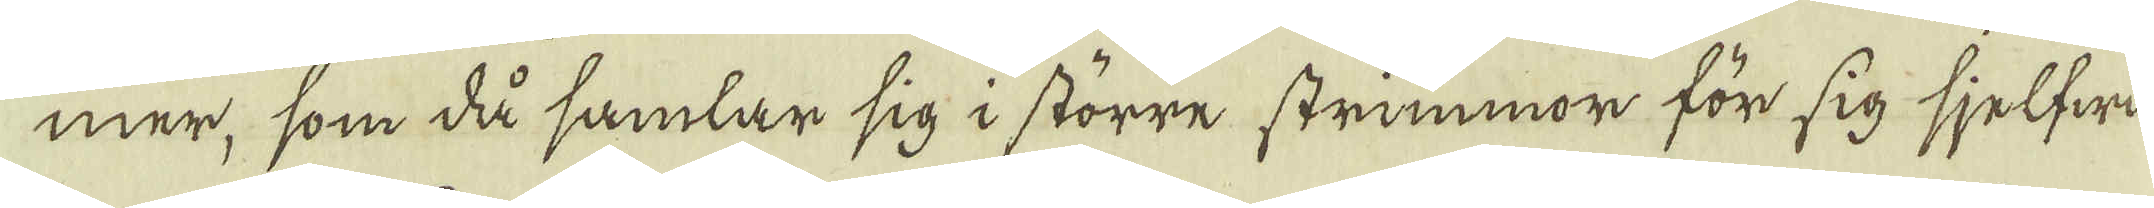mer, som då samlar sig i större strimmor för sig sjelfwa
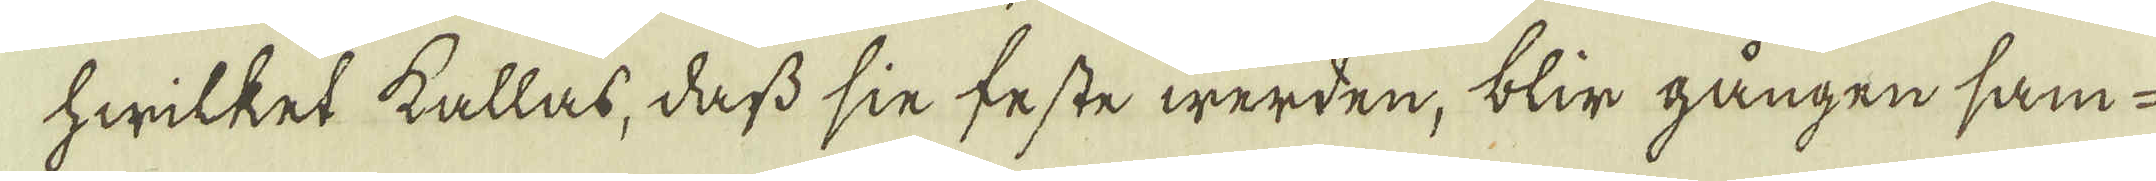hwilket kallas, dass sin feste werden, blir gången sam-
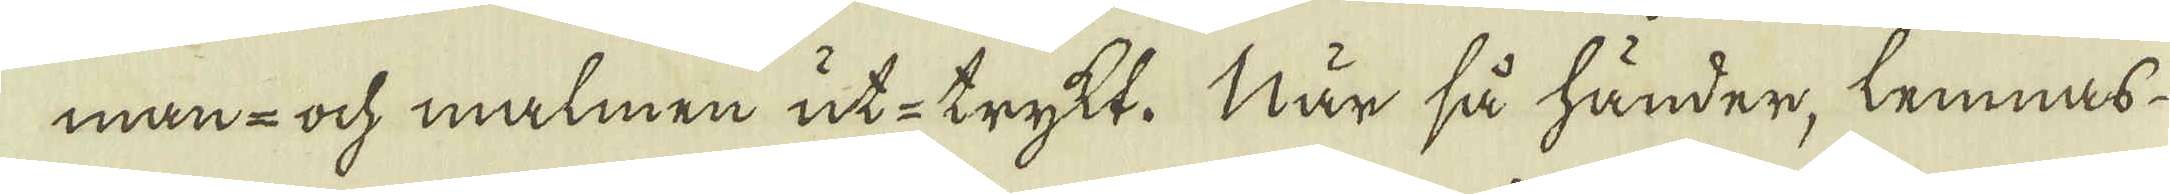man- ock malmen ut-trykt. När så händer, lemnas
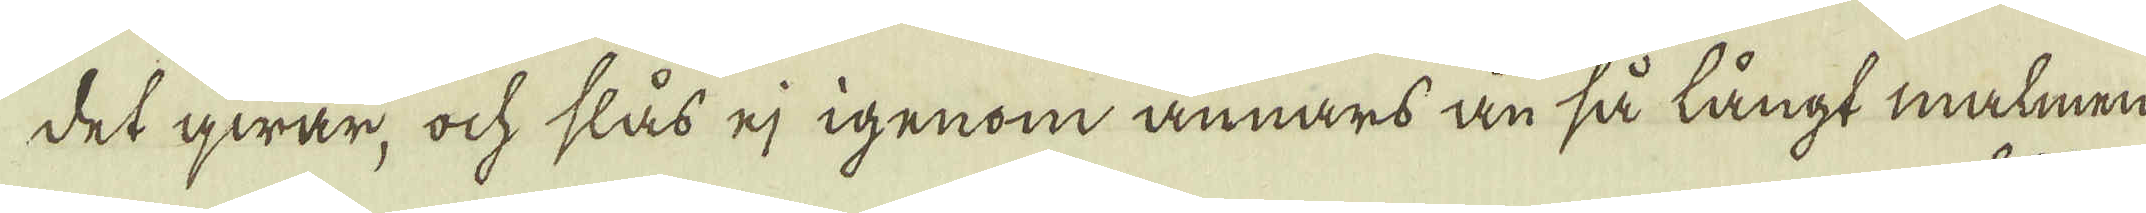det qwar, ock slås ej igenom annars än så långt malmen
